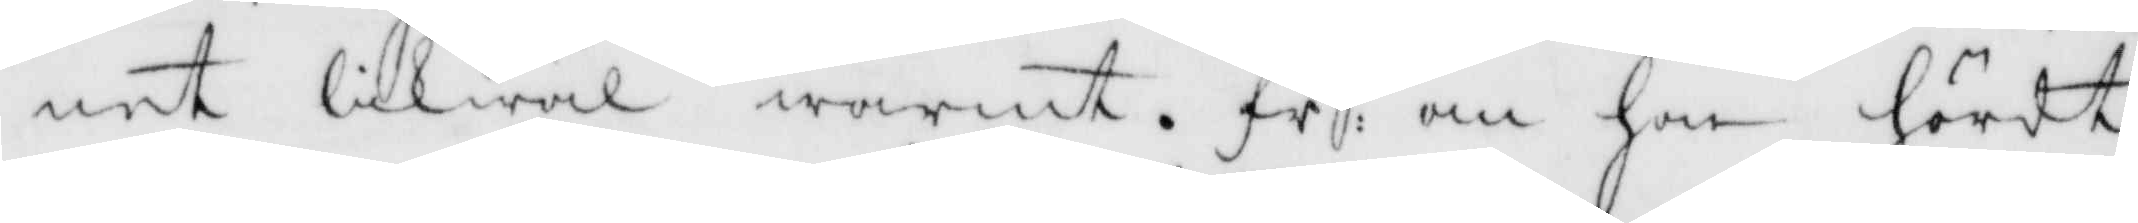net likwäl warmt. fr: om hon hördt
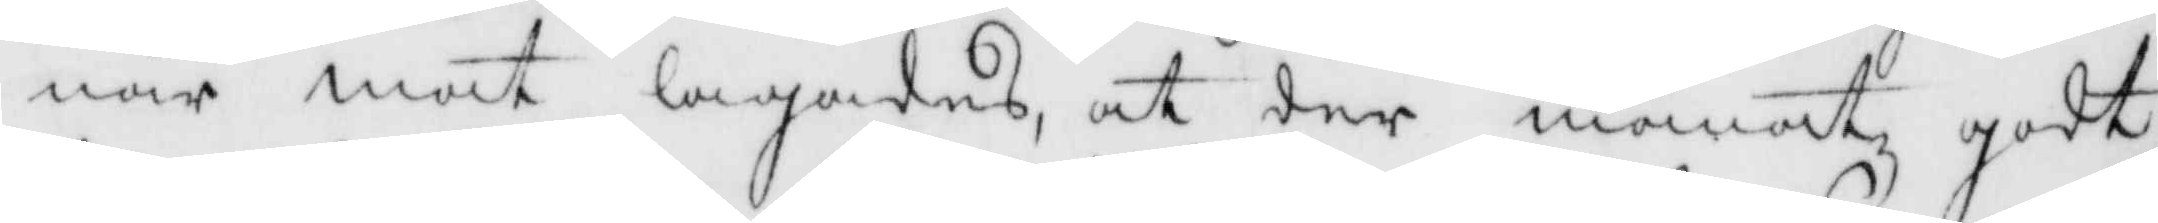när mat lagades, at der manat godt
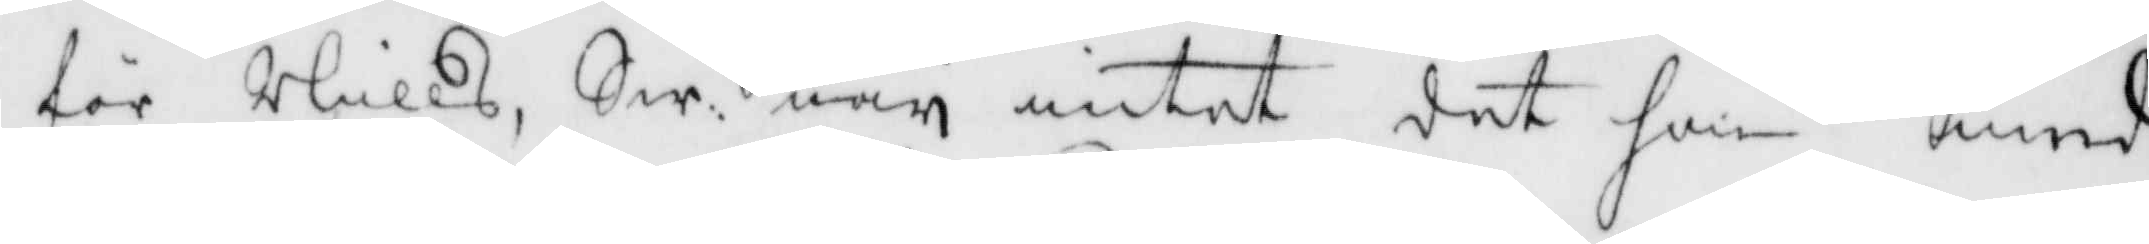för Nills, Sw, ney intet det hon med
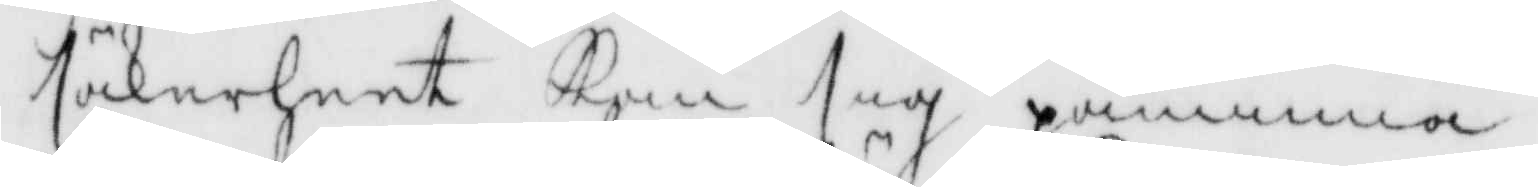säkerheet Kan sig påminna.
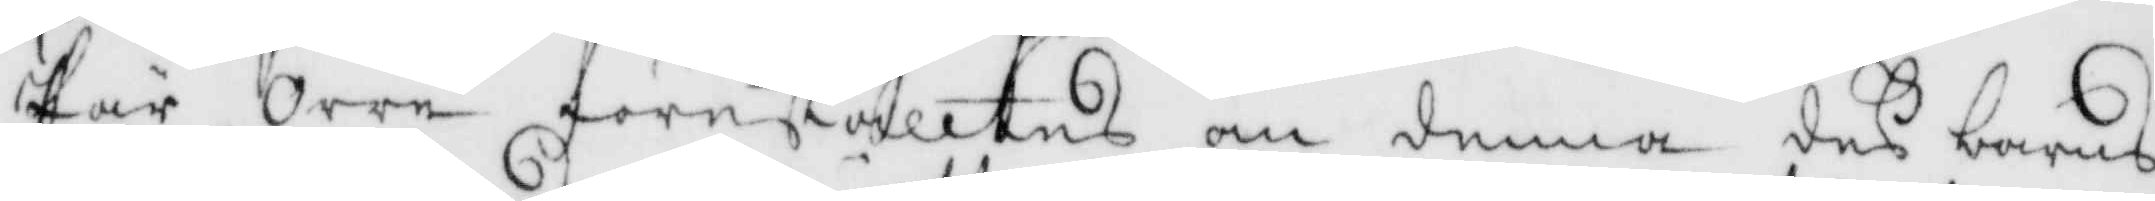Pär Orre föreställtes om denna des barns
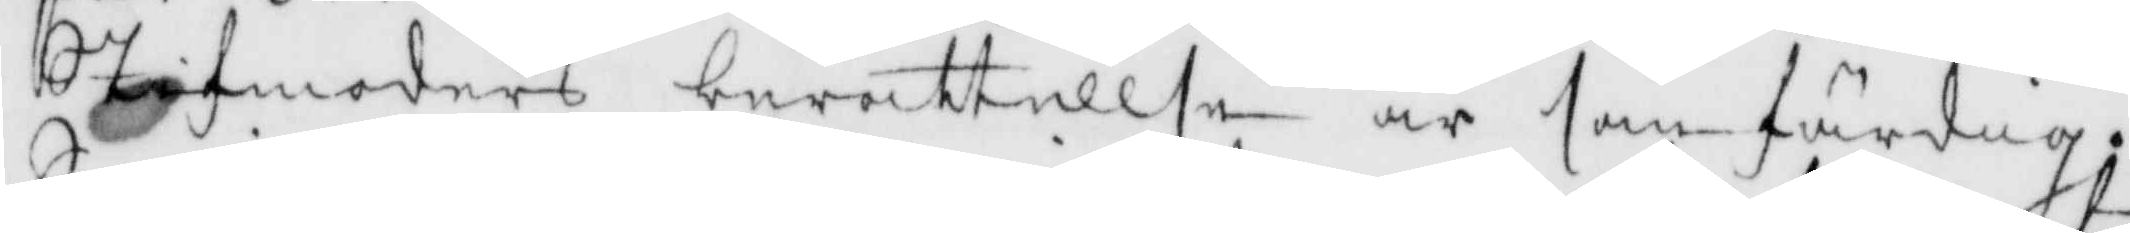Stufmoders berättelse är sanfärdig,
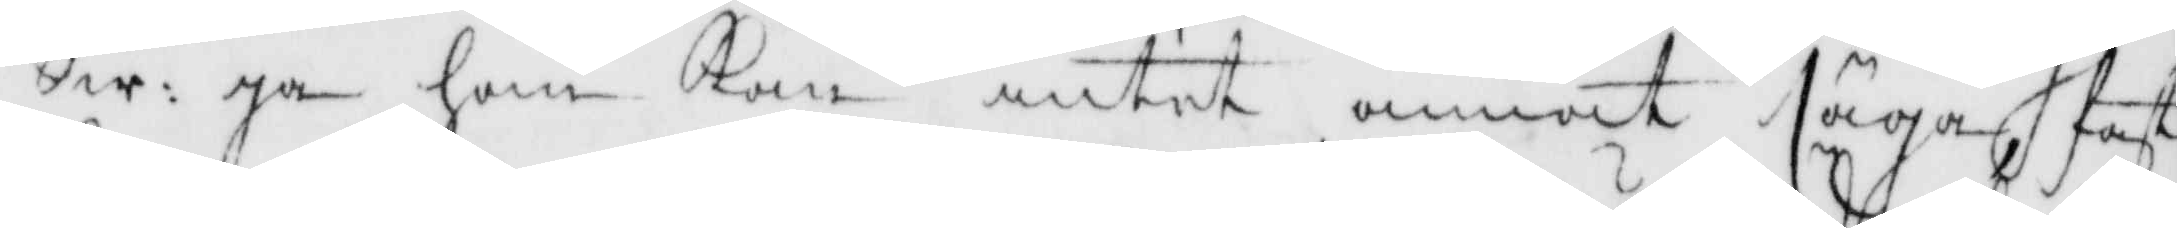Sw: ja han Kan intet annat säga fast
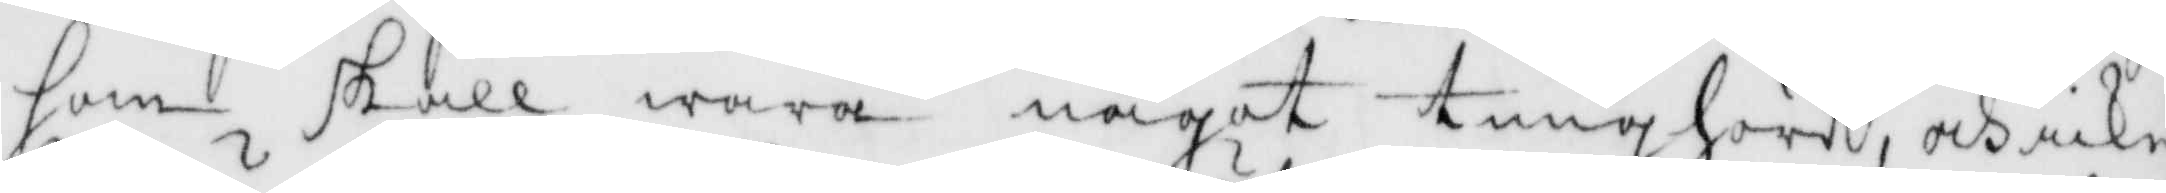han sakll wara något tunghörd, och icke 
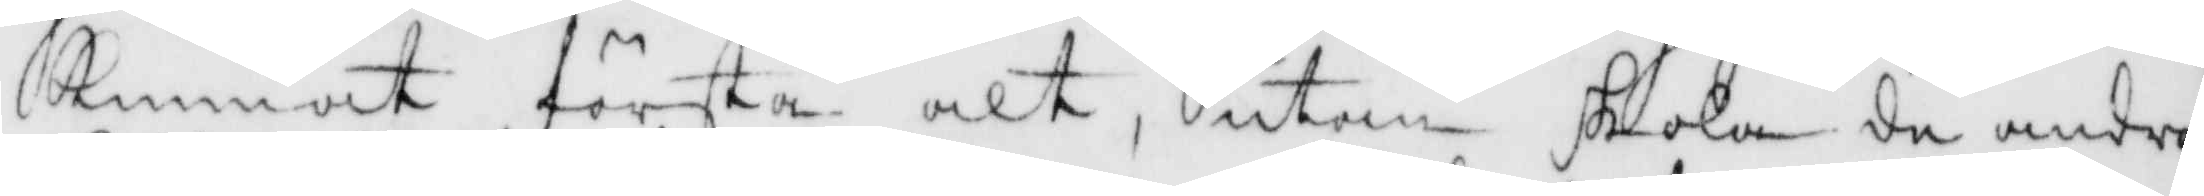kunnat förstå alt, utan skola de andra
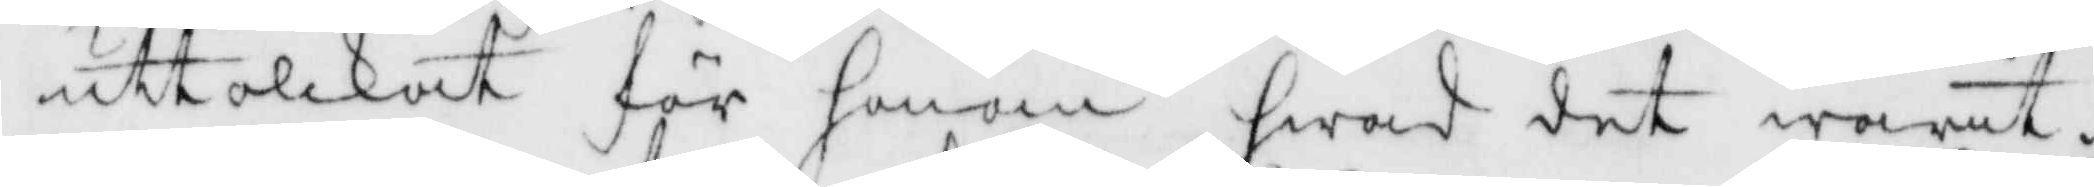uttolkat för honom hwad det warit.
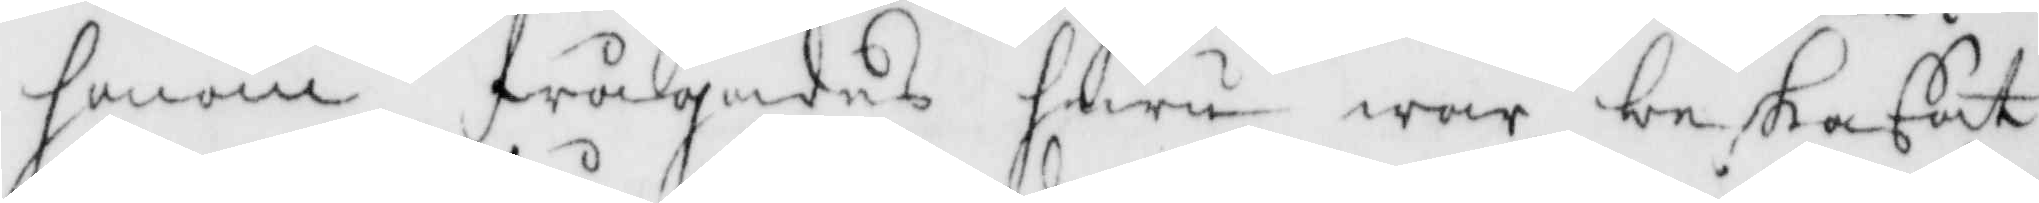honom frågades huru war beskaffat
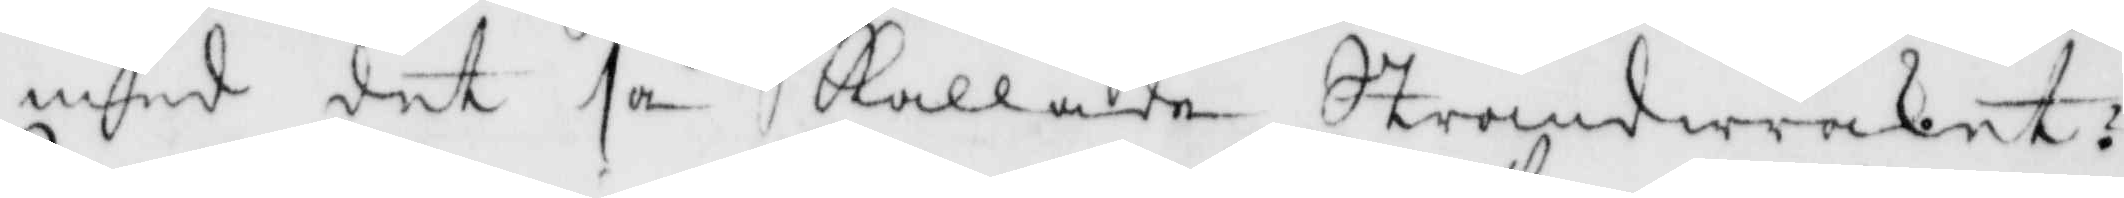med det så Kallade Strandwraket?
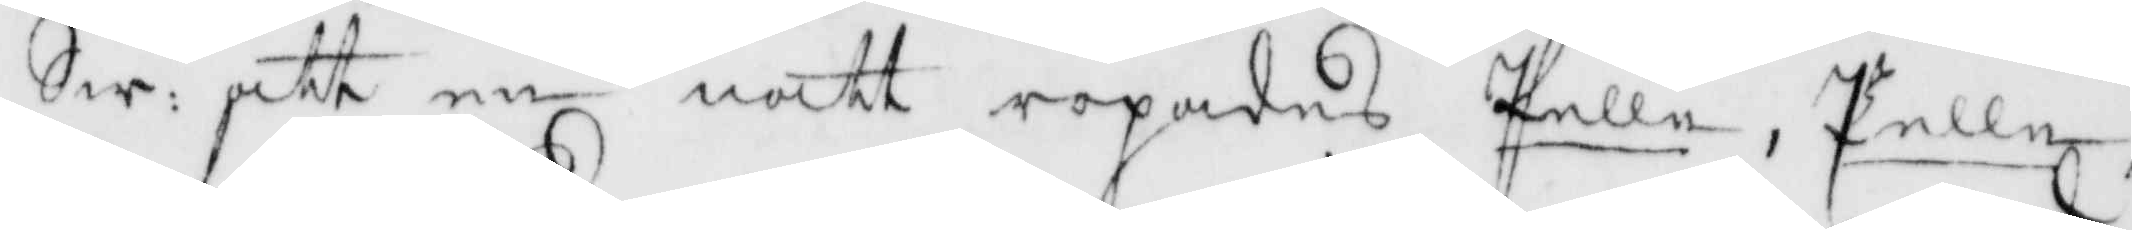Sw: att en natt ropades Pelle, Pelle, 
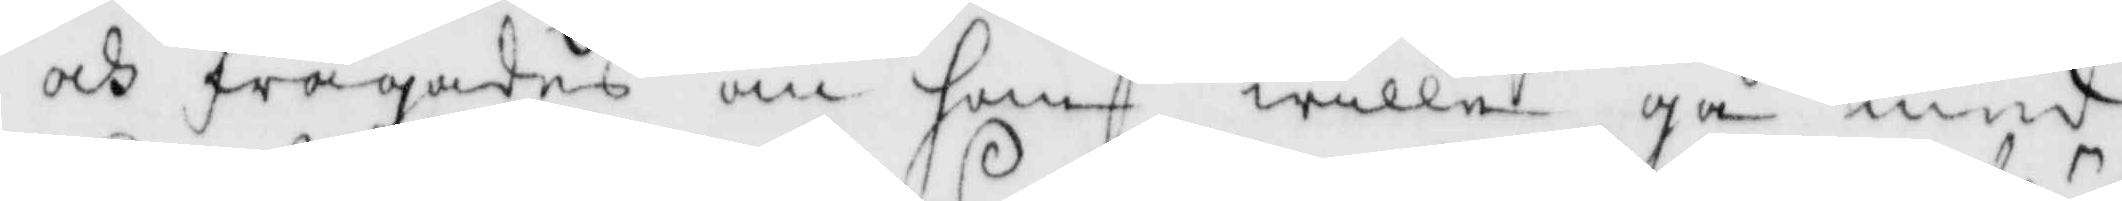ocj frågades om han wille gå med
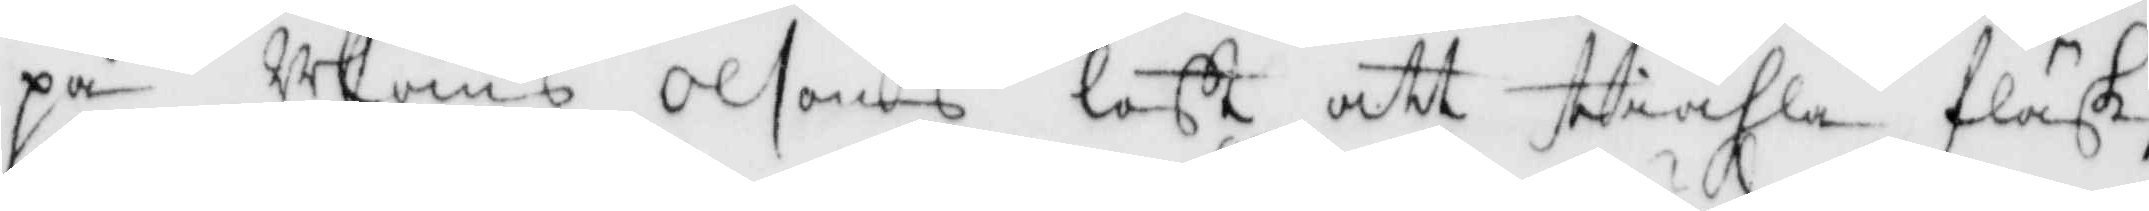på Måns Olsons loft att stiähla fläsk,
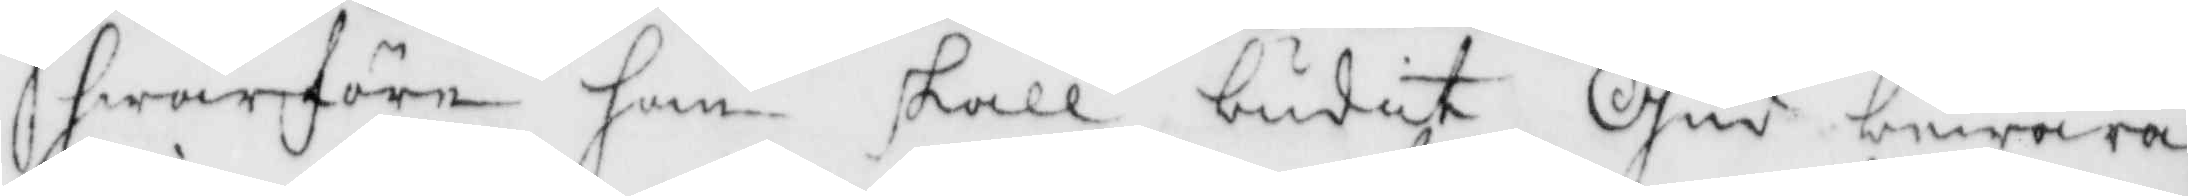hwarföre han skall budit Gud bewara
